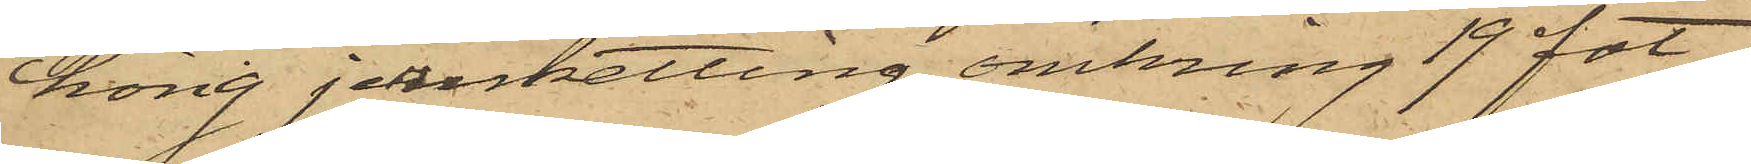hörig jernketting, omkring 19 fot.
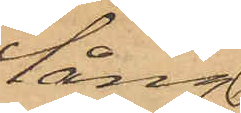lång
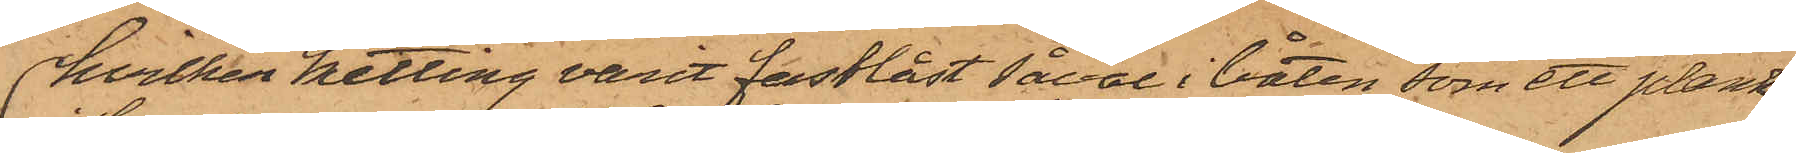hvilken ketting varit fastlåst såväl i båten, som ett plank
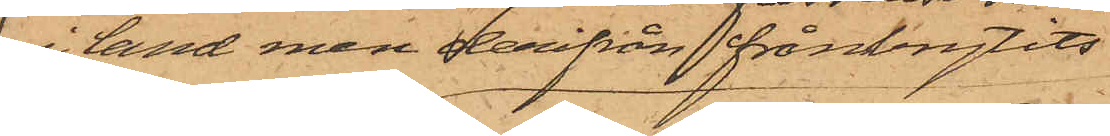i land men derifrån frånbrytits
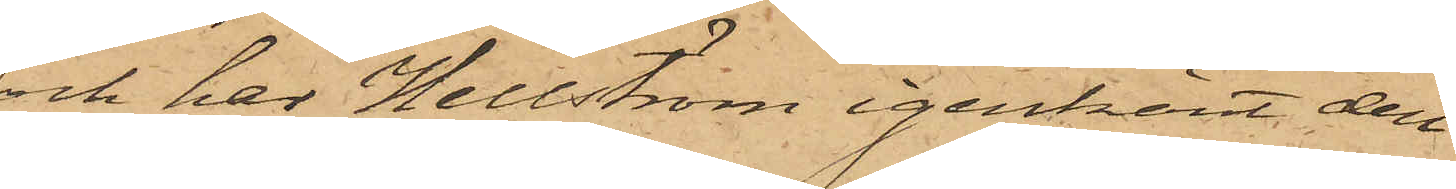och har Hellström igenkänt den
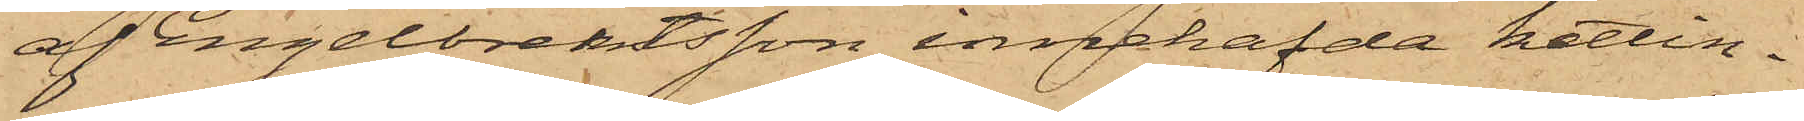af Engelbrektsson innehafda kettin¬
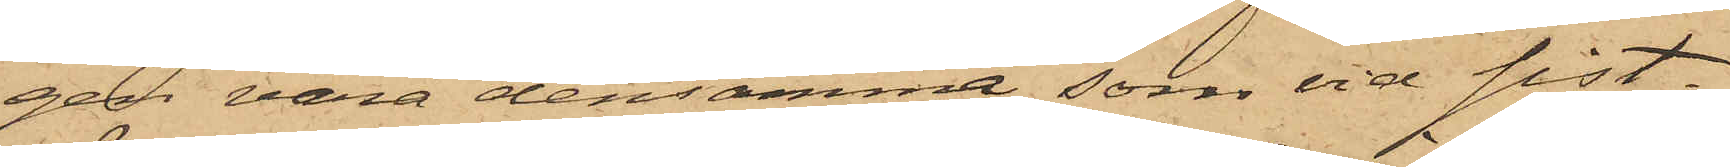gen vara densamma, som vid sist¬
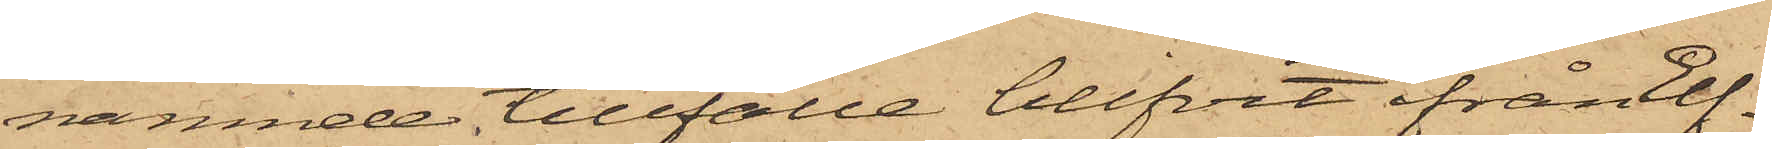nämnde tillfälle blifvit ifrån Elf¬
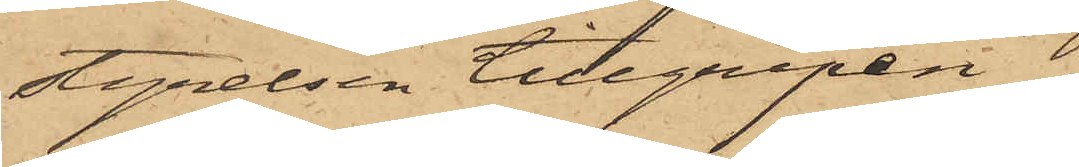styrelsen tillgripen.
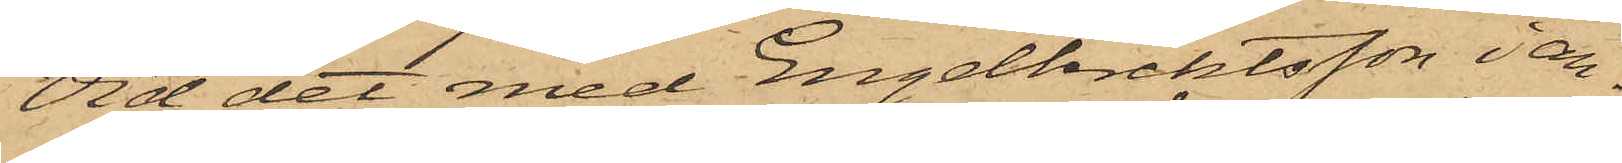Vid det med Engelbrektsson i an¬
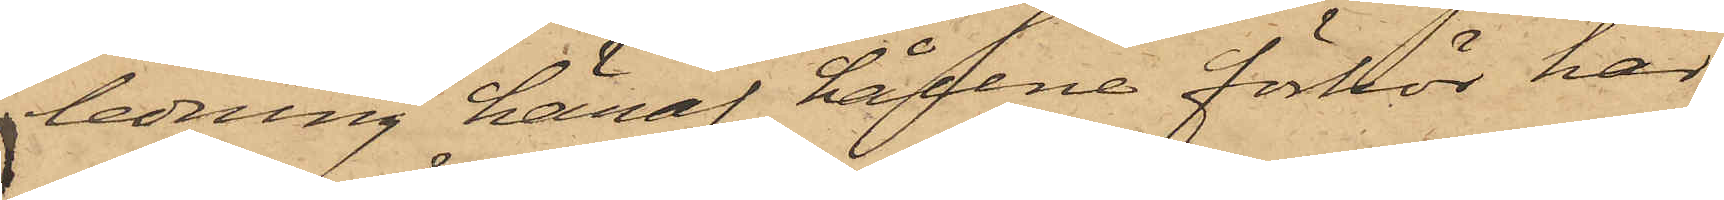ledning häraf hållne förhör har
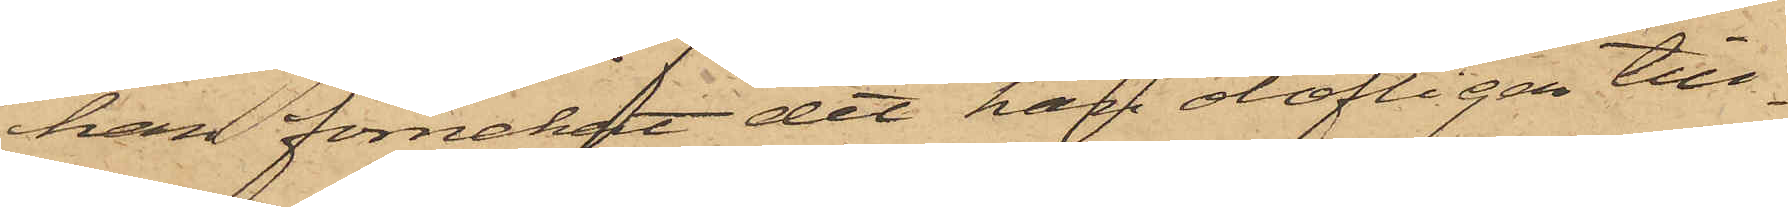han förnekat det han olofligen till¬
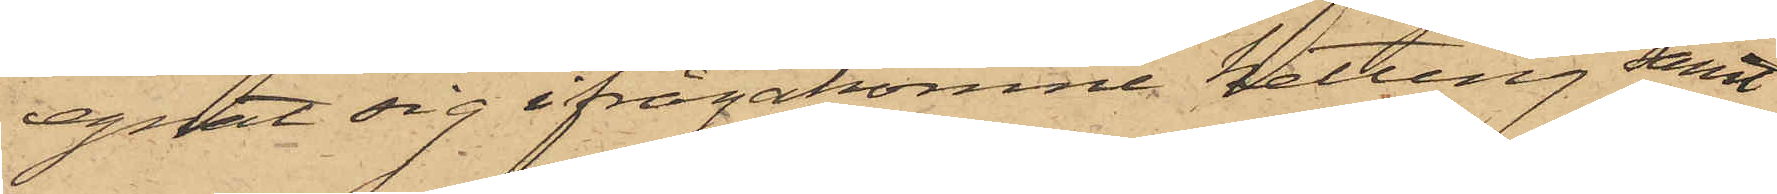egnat sig ifrågakomne ketting samt
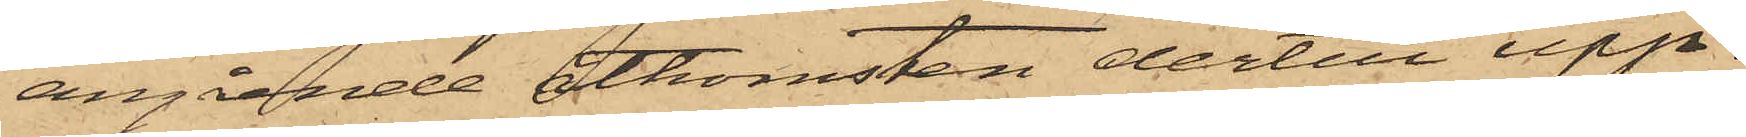angående åtkomsten dertill upp¬
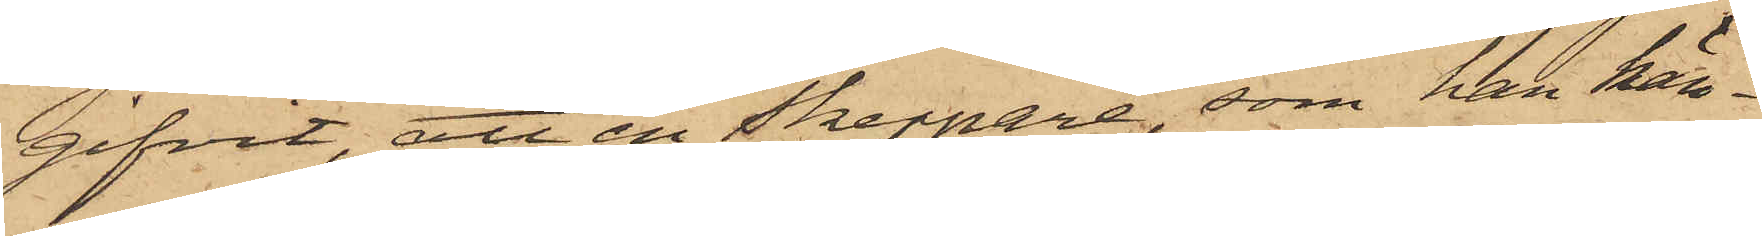gifvit, att en Skeppare, som han kän¬
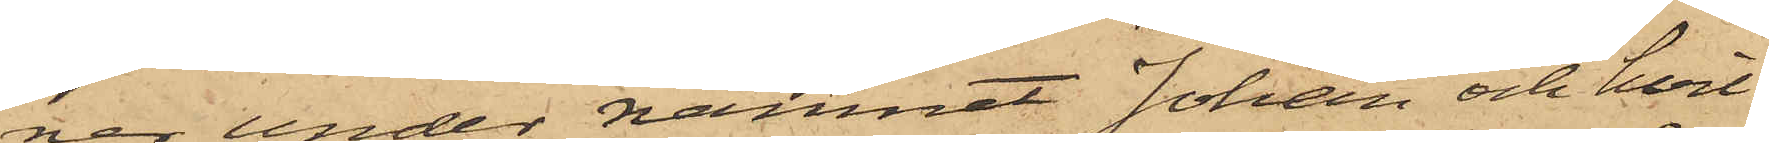ner under namnet Johan och hvil¬
